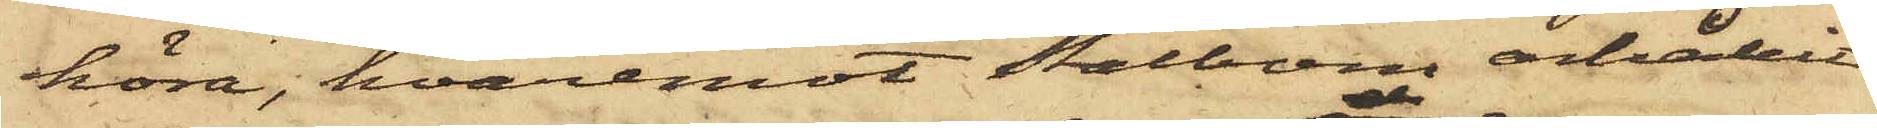höra, hvaremot Stålbom erhållit
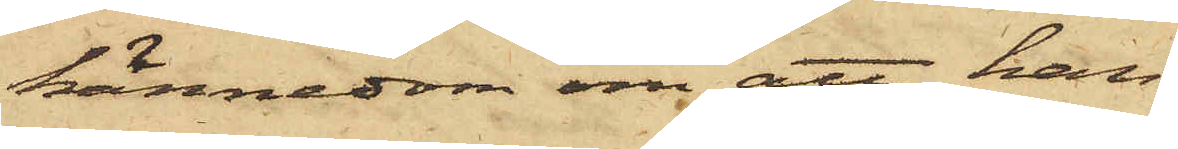kännedom om att han
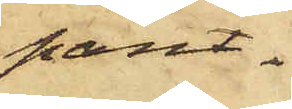pant¬
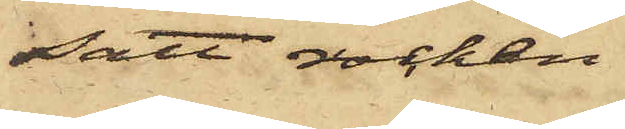satt rocken
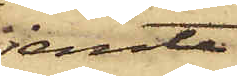jemte
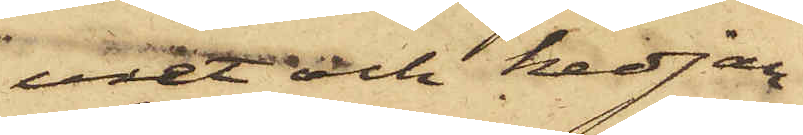uret och kedjan
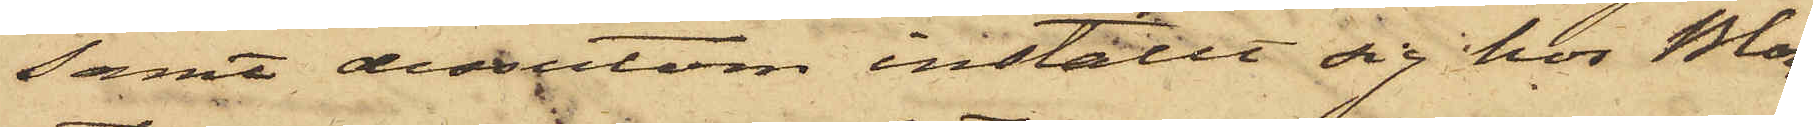samt dessutom inställt sig hos Blom¬
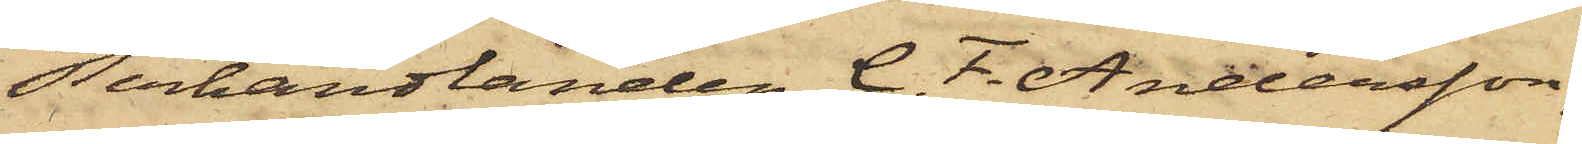sterhandlanden C. F. Andersson,
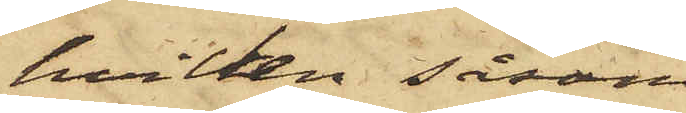hvilken såsom
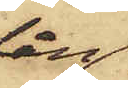lån
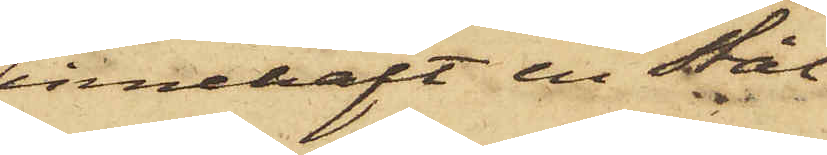innehaft en Stål¬
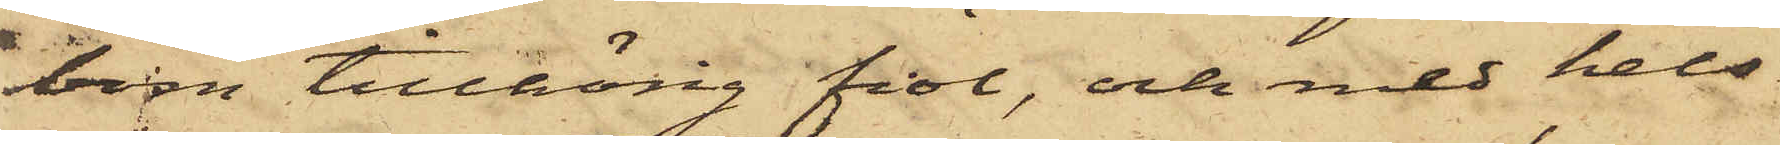bom tillhörig fiol, och med hels¬
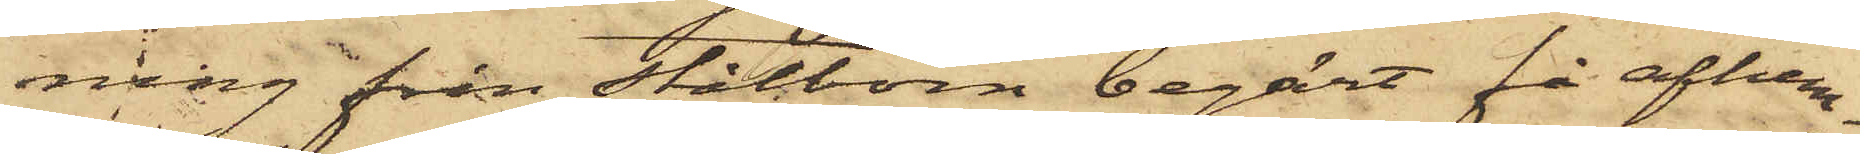ning från Stålbom begärt få afhem¬
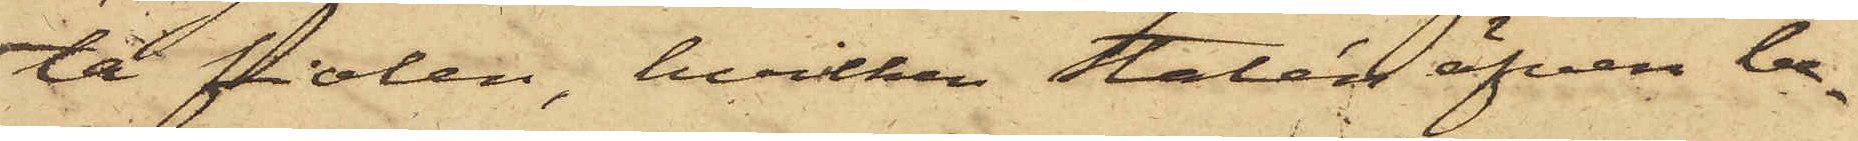ta fiolen, hvilken Stalén äfven be¬
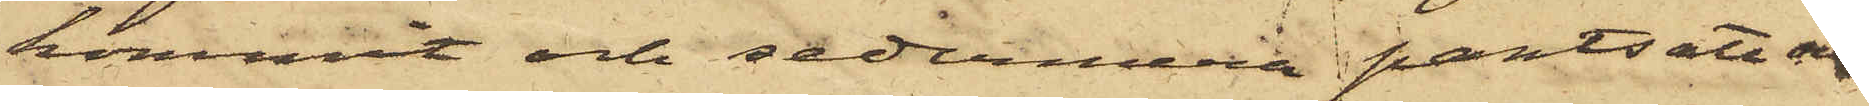kommit och sedermera pantsatt och
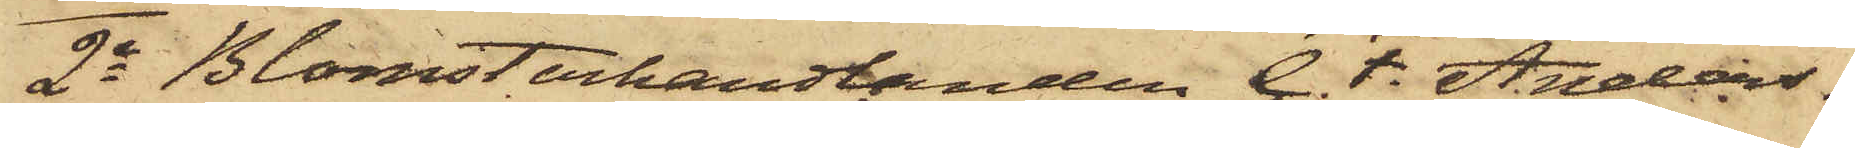2o Blomsterhandlanden C. F. Anders¬
